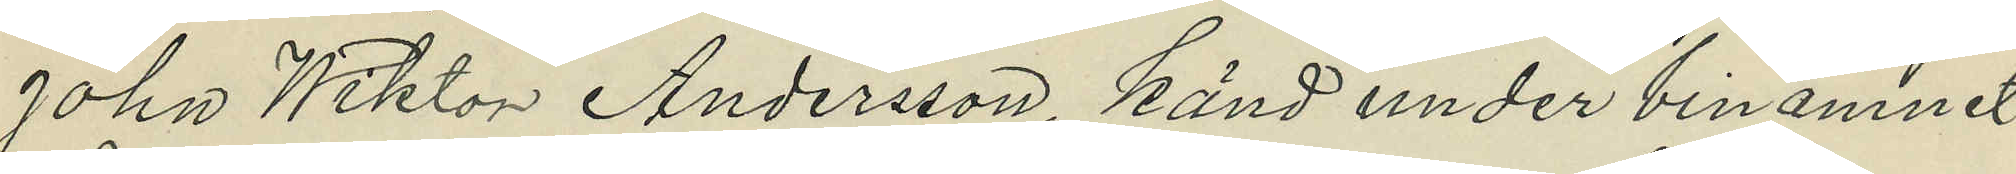John Wiktor Andersson, känd under binamnet
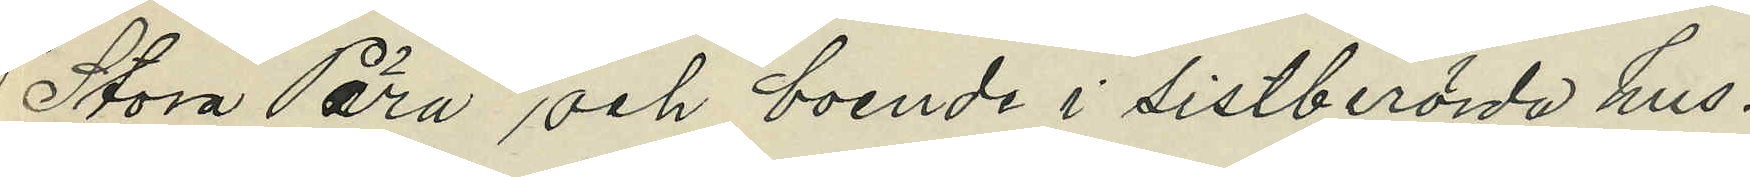"Stora Pära" och boende i sistberörda hus.
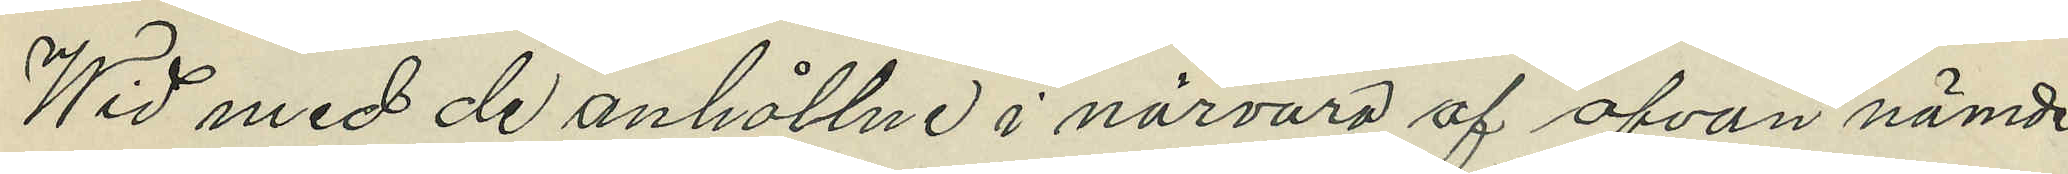Wid med de anhållne i närvaro af ofvan nämde
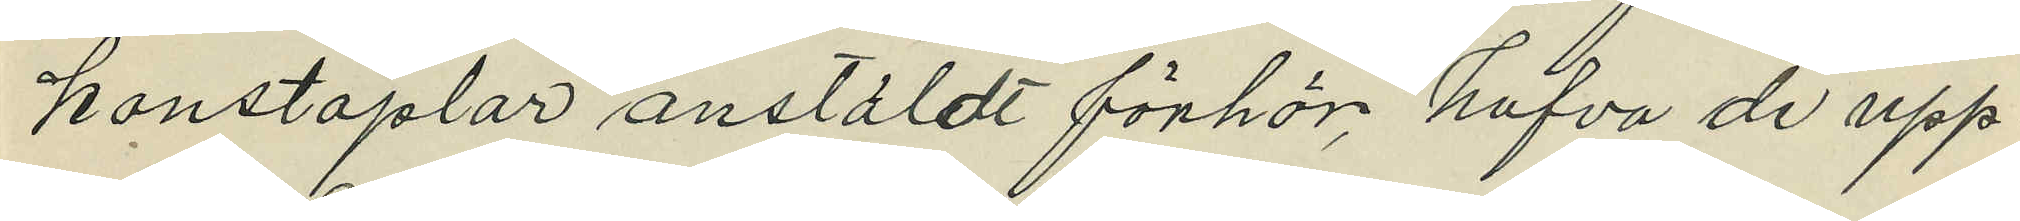konstaplar anstäldt förhör, hafva de upp¬
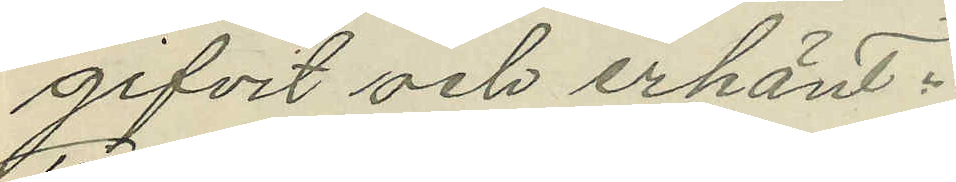gifvit och erkänt:.
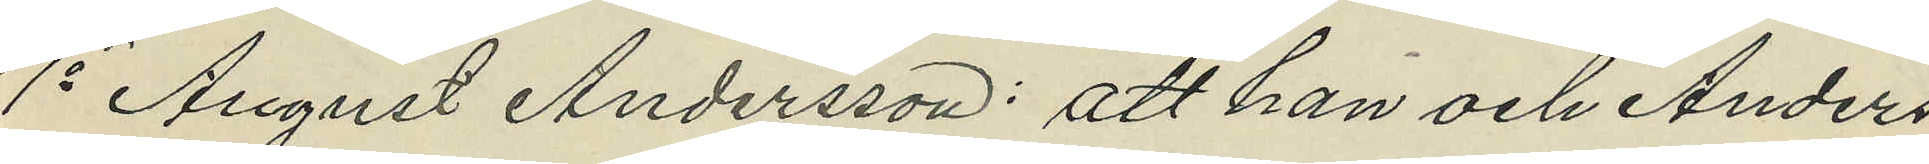1o August Andersson: att han och Anders¬
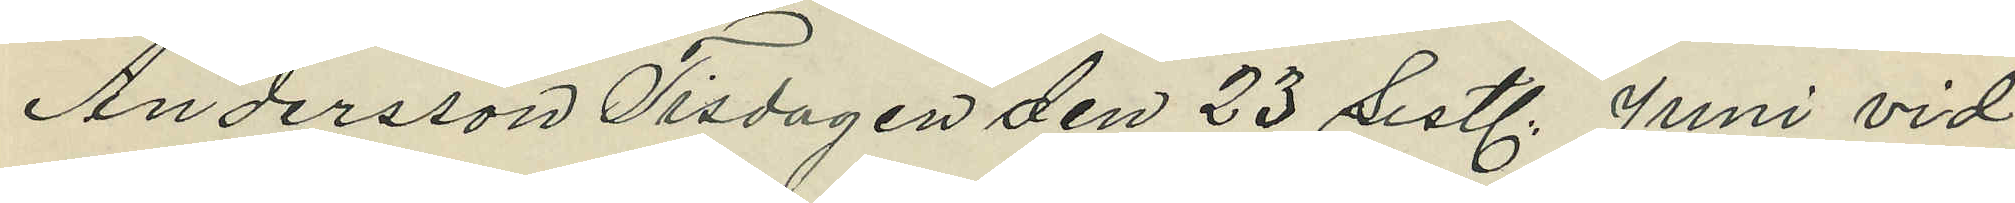Andersson Tisdagen den 23 sistl. Juni vid
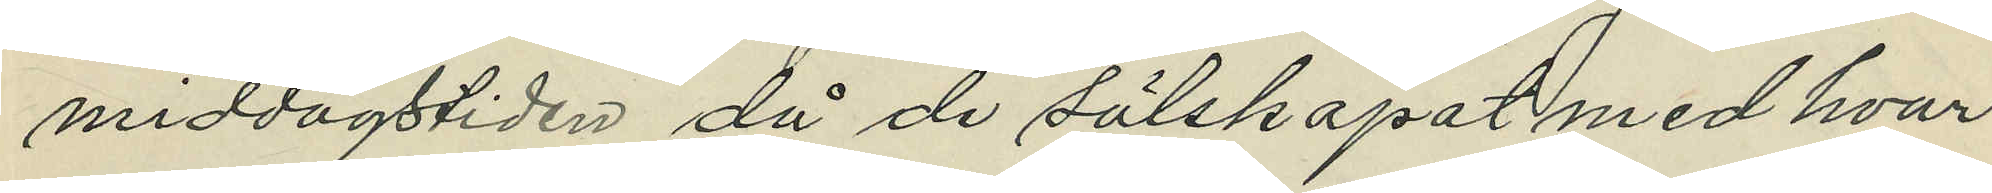middagstiden då de sälskapat med hvar¬
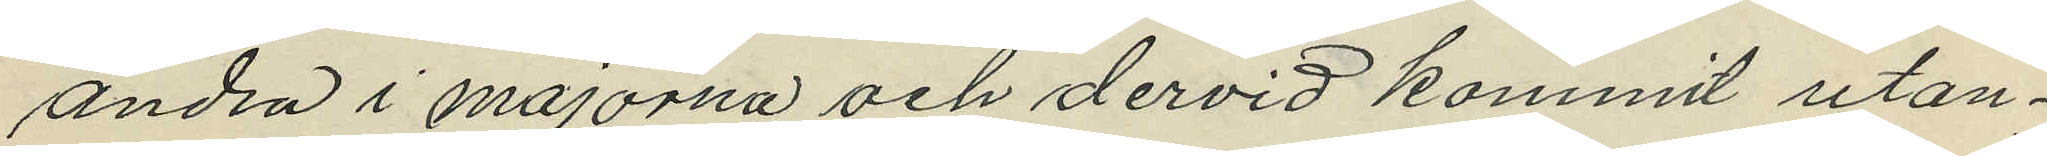andra i majorna och dervid kommit utan¬
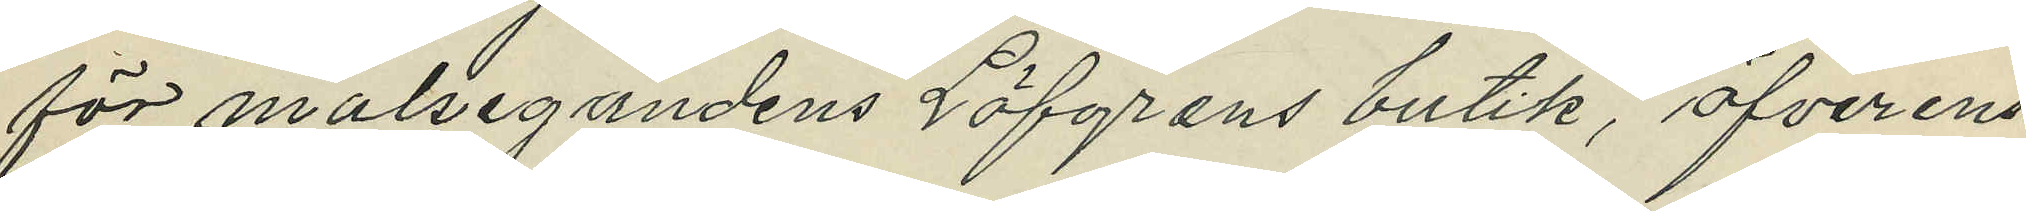för malsegandens Löfgrens butik, öfverens¬
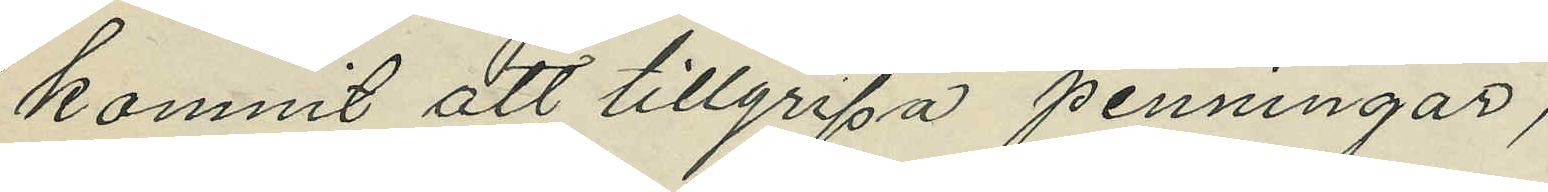kommit att tillgripa penningar;
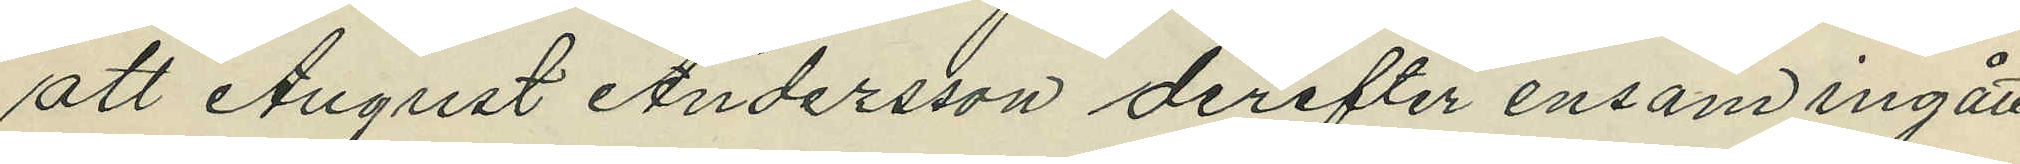att August Andersson derefter ensam ingått
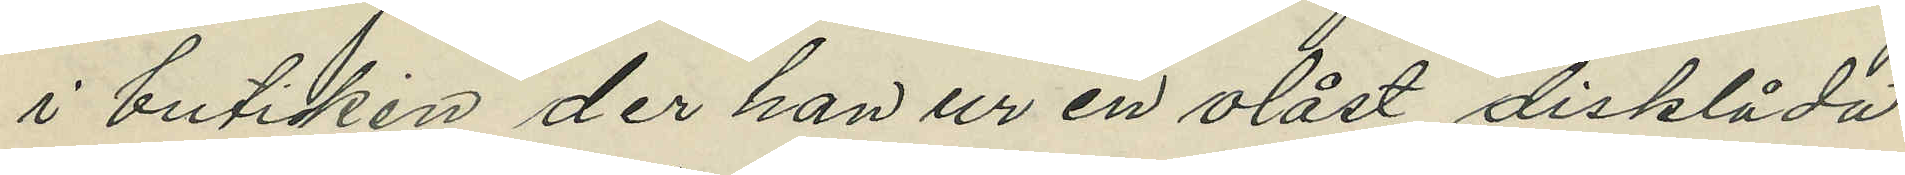i butiken der han ur en olåst disklåda
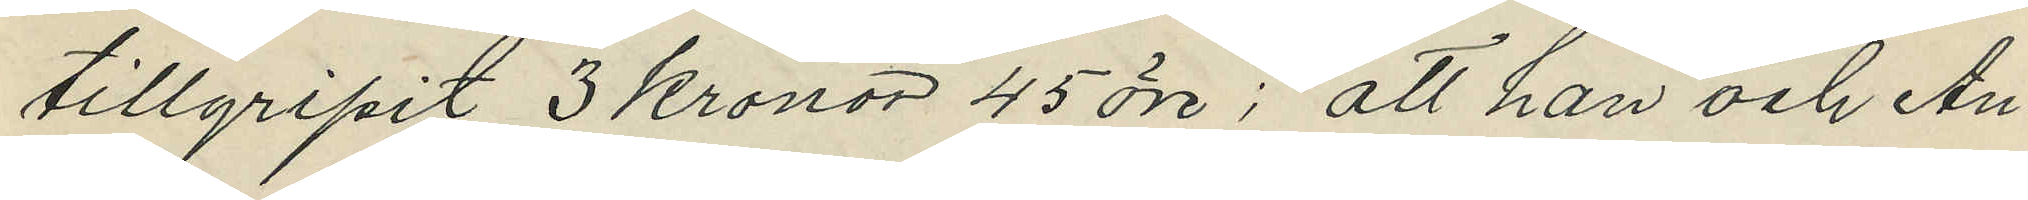tillgripit 3 kronor 45 öre; att han och An¬
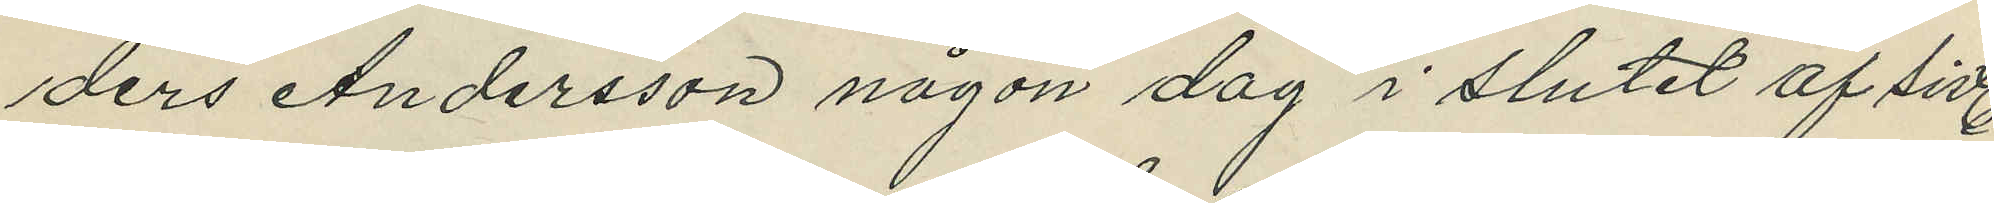ders Andersson någon dag i slutet af sistl.
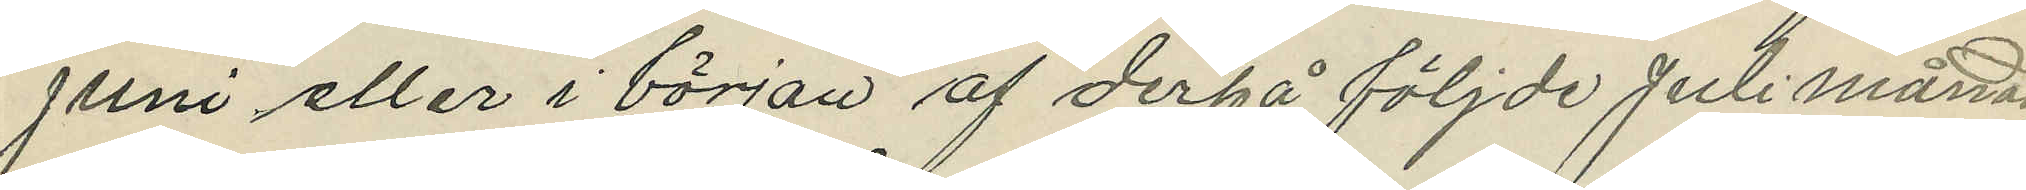Juni eller i början af derpå följde Juli månad,
